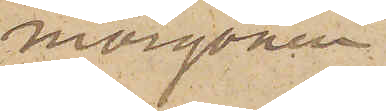morgonen,
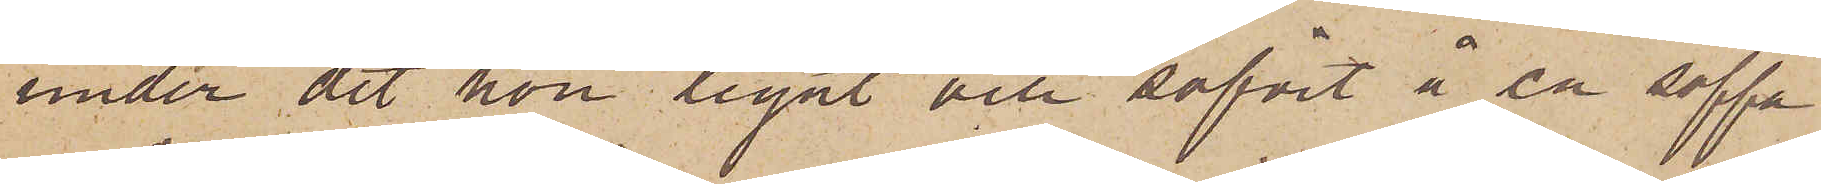under det hon legat och sofvit å en soffa
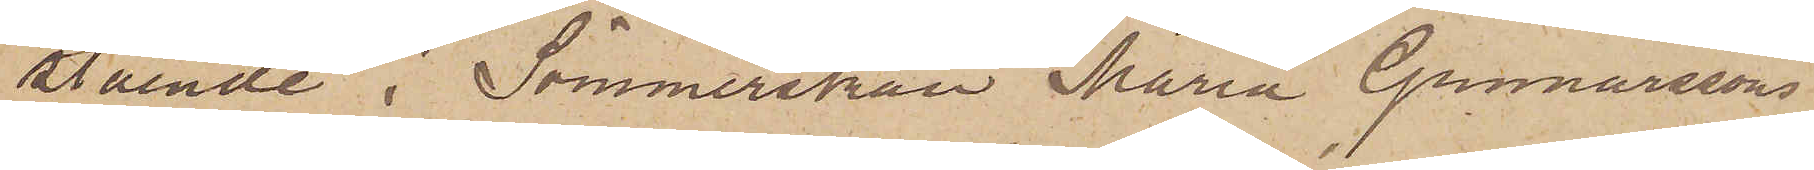stående i Sömmerskan Maria Gunnarssons
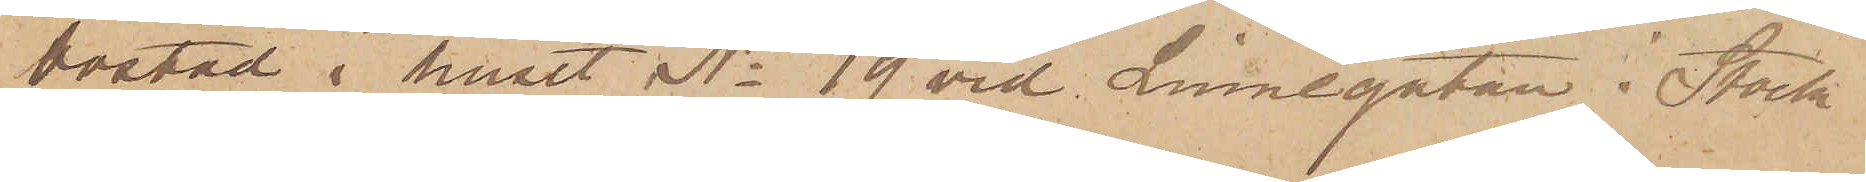bostad i huset No 19 vid Linnégatan i Stock¬
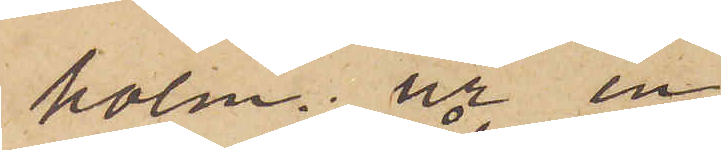holm ur en
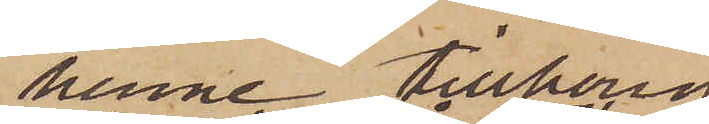henne tillhörig
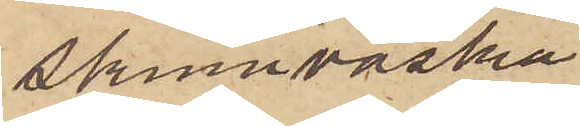skinnväska
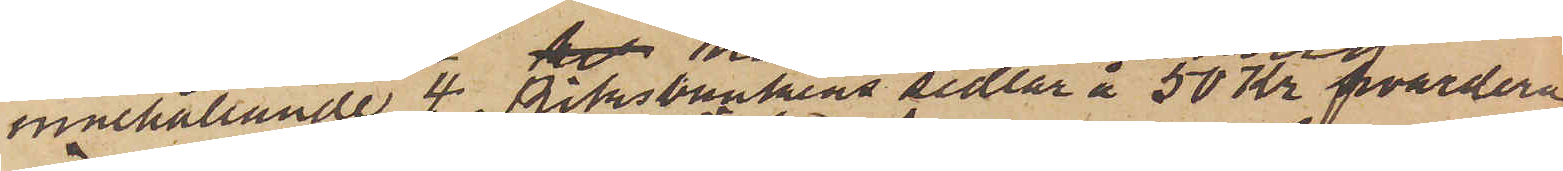innehållande 4 Riksbankens sedlar å 50 kr hvardera
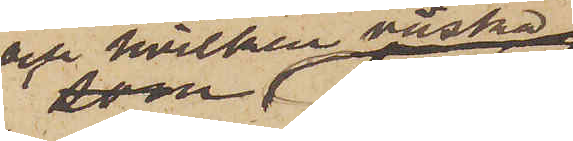och hvilken väska
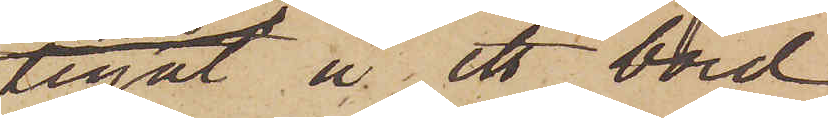legat å ett bord
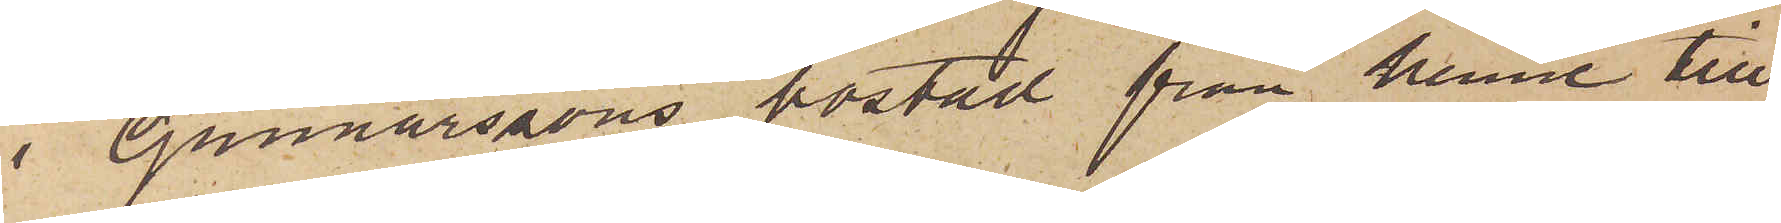i Gunnarssons bostad från henne till¬
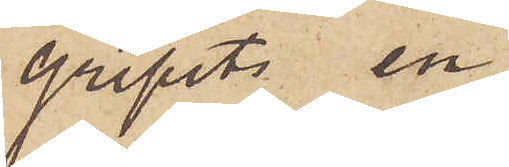gripits en
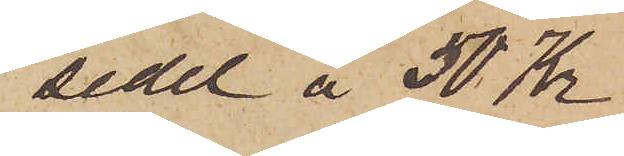sedel å 50 Kr
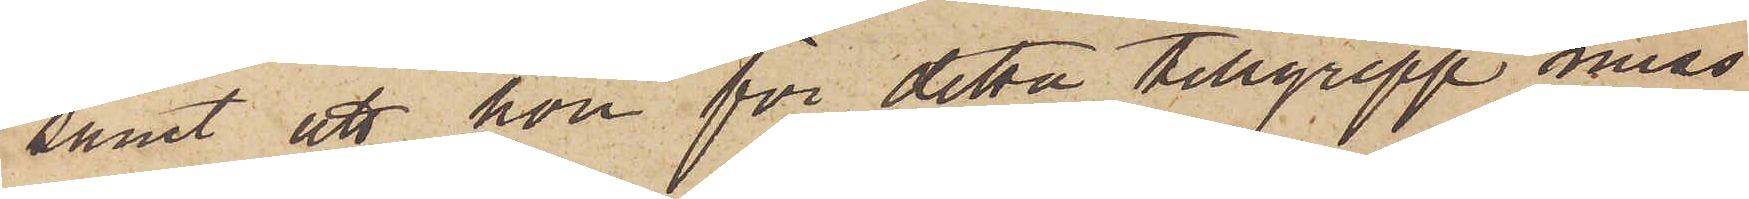samt att hon för detta tillgrepp miss¬
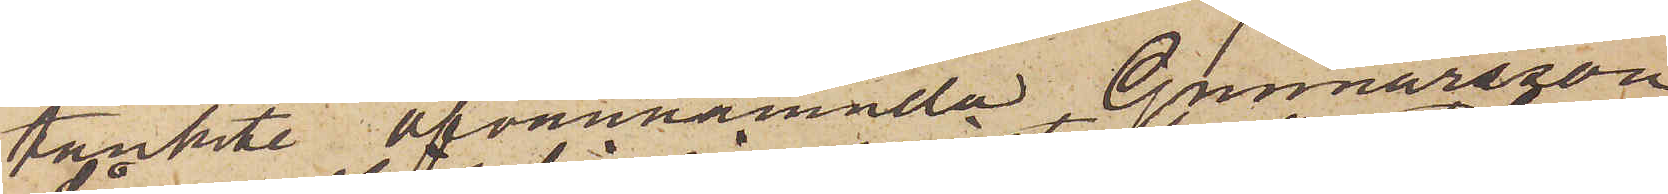tänkte ofvannämnda Gunnarsson.
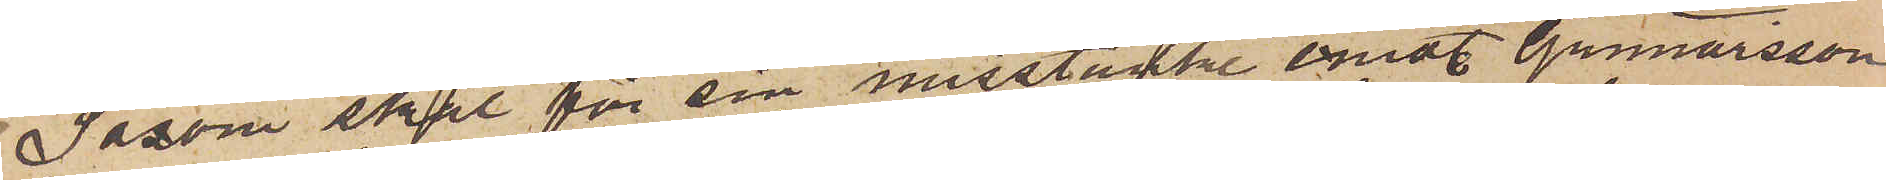Såsom skäl för sin misstanke emot Gunnarsson
